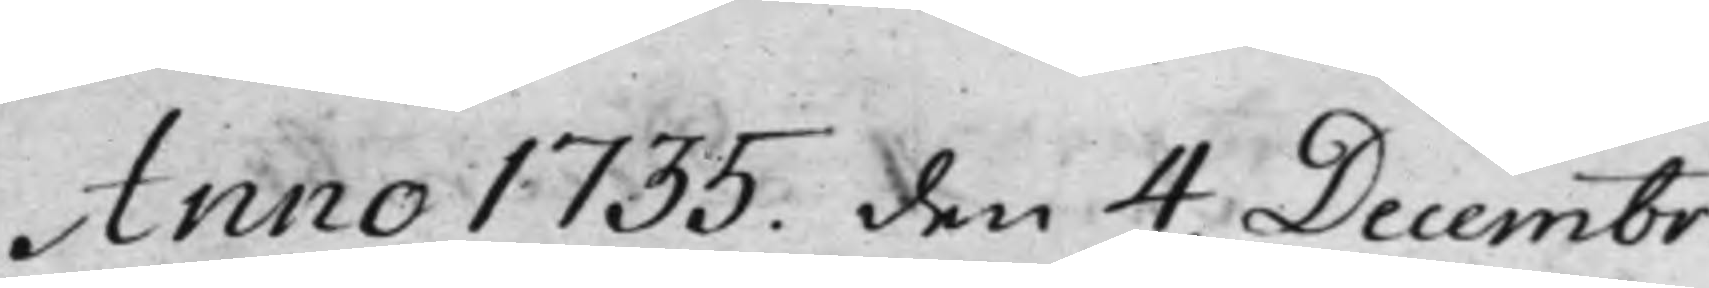Anno 1735 den 4. Decembr.
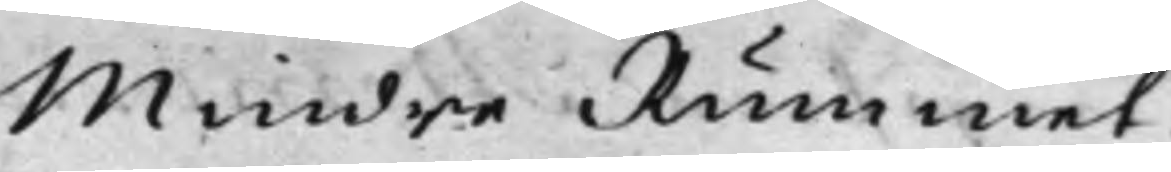Mindre Rummet.
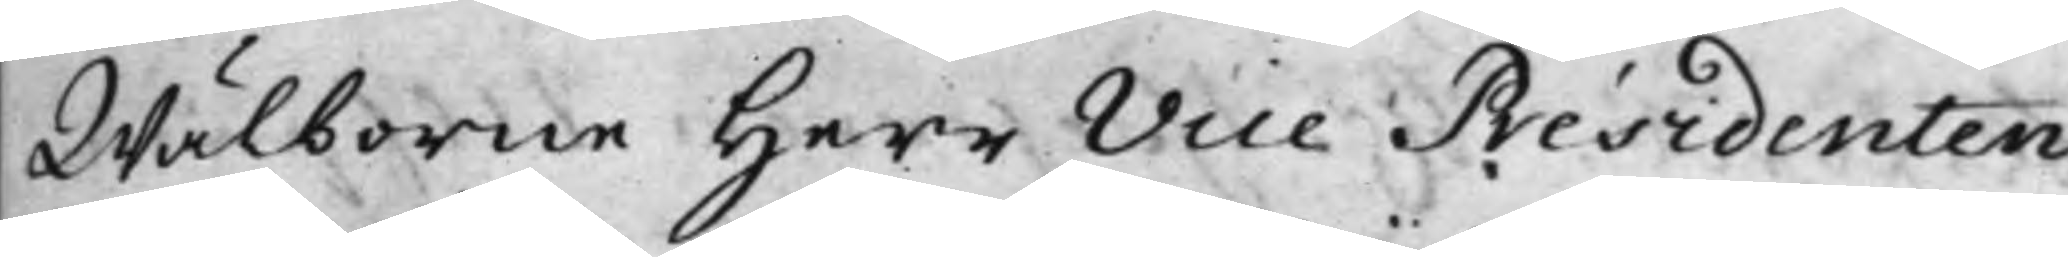Wälborne Herr Vice Présidenten
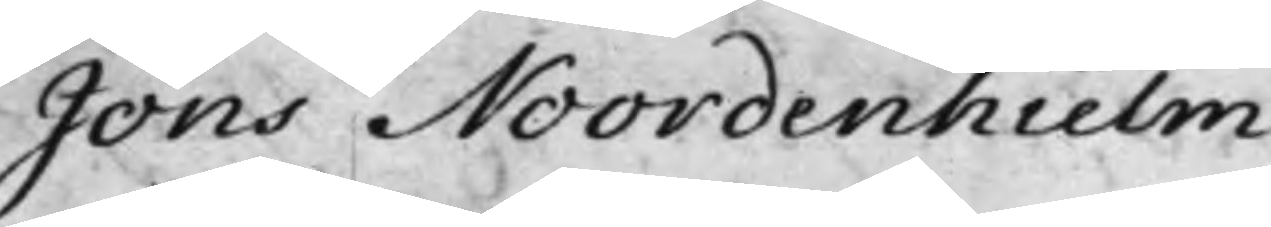Jöns Noordenhielm.
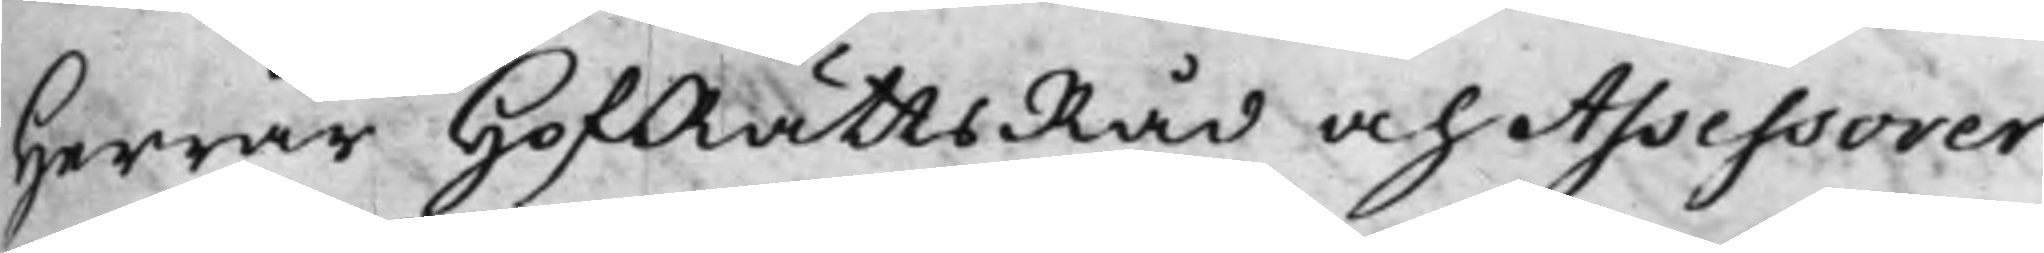Herrar HofRättsRåd och Assessorer:
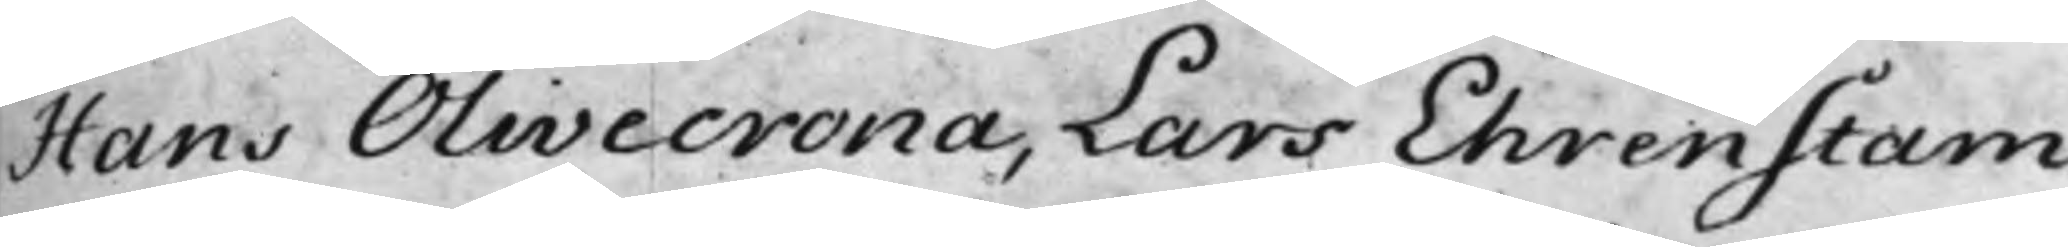Hans Olivecrona, Lars Ehrenstam.
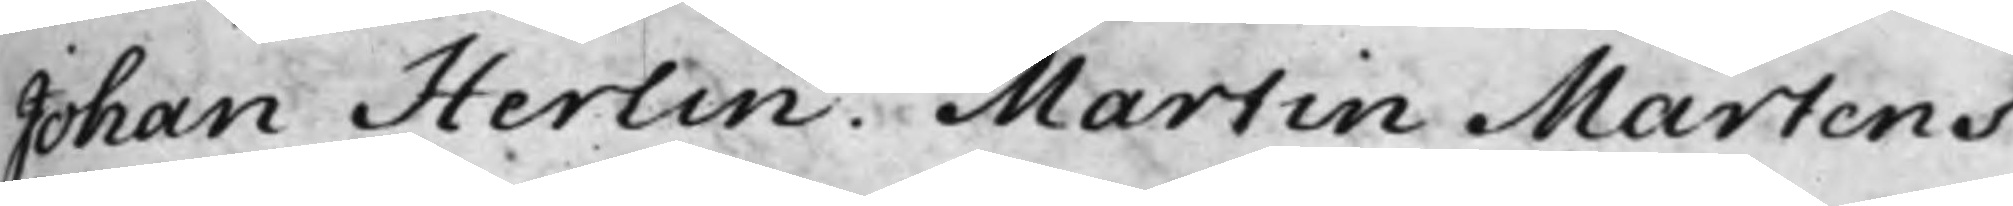Johan Herlin. Martin Martens.
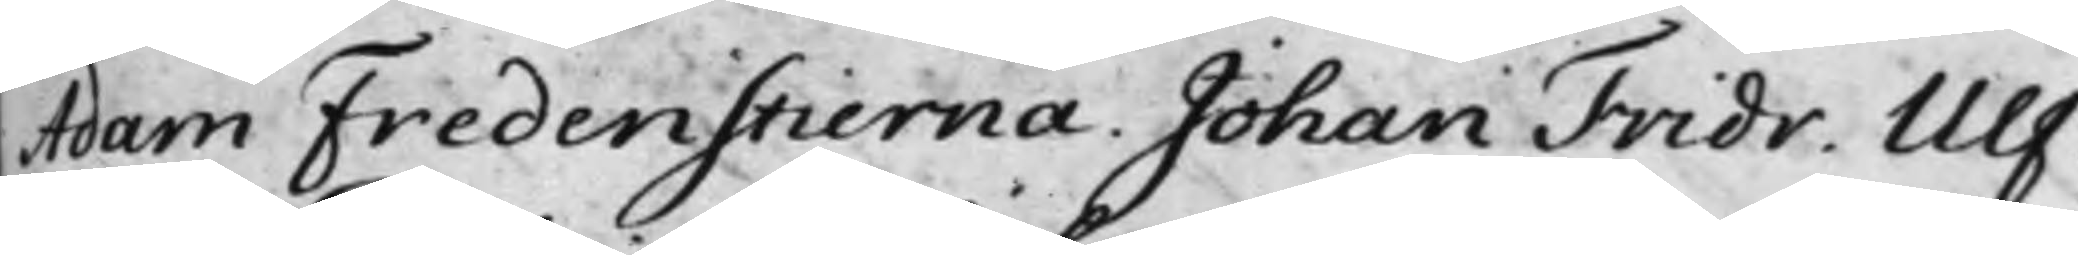Adam Fredenstierna. Johan Fridr. Ulf.
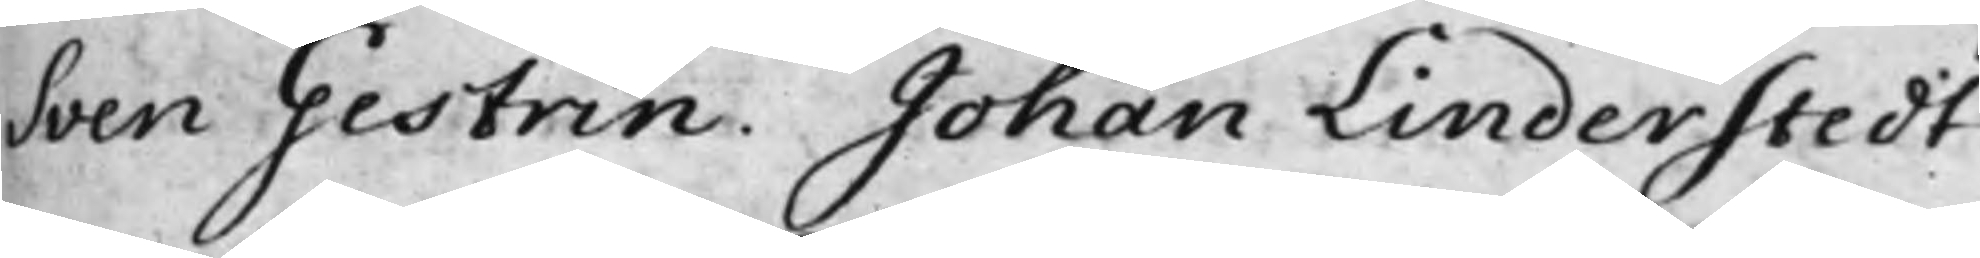Sven Gestrin. Johan Linderstedt.
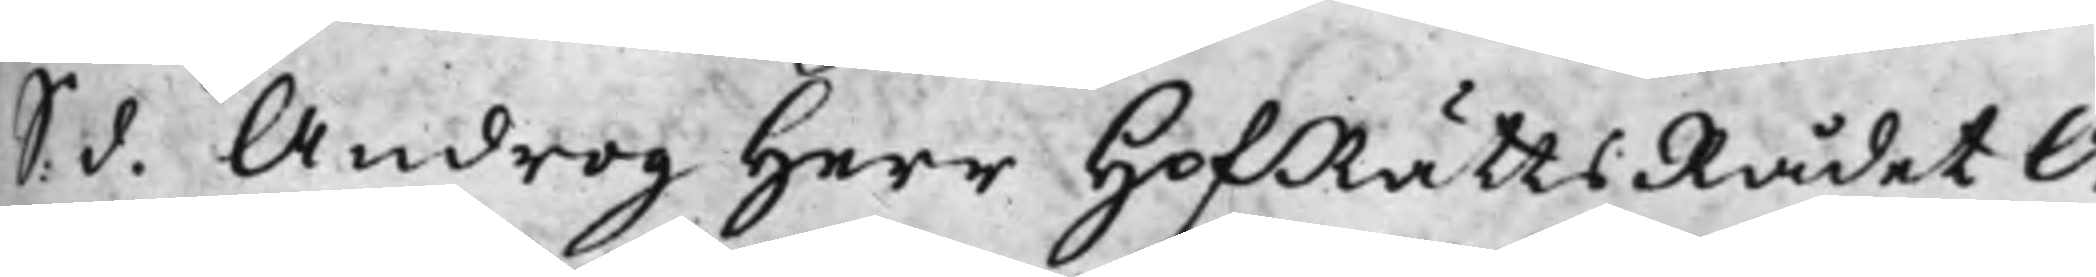S. d. Androg Herr HofRättsRådet O¬
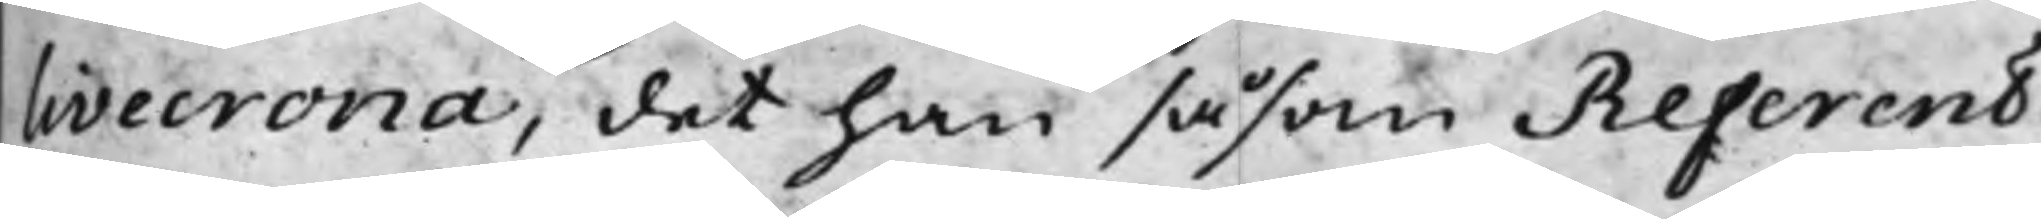livecrona, det han såsom Referent
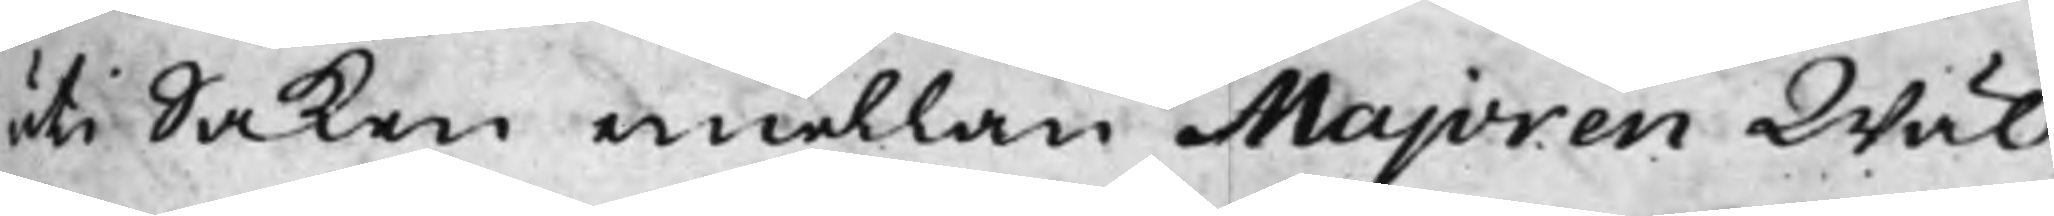uti Saken emellan Majoren Wäl¬
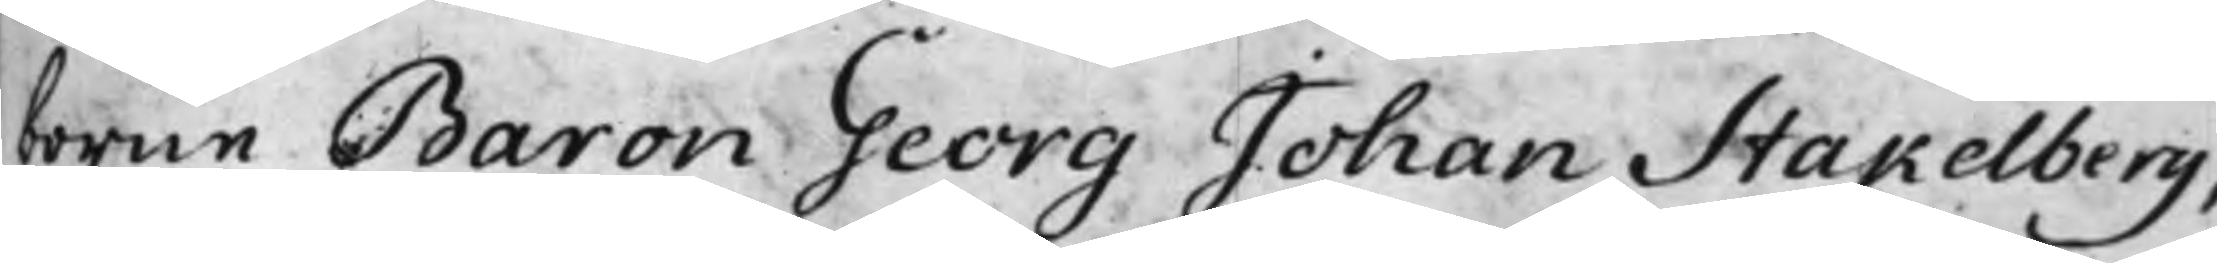borne Baron Georg Johan Stakelberg,
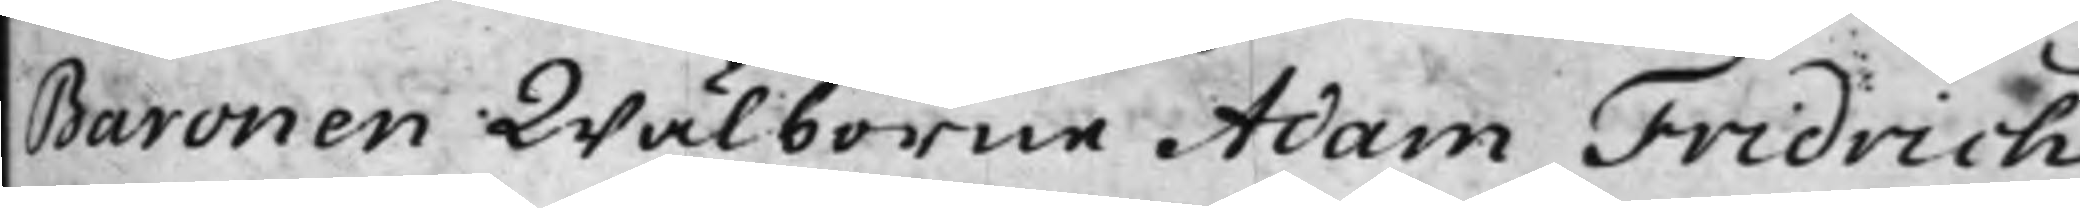Baronen Wälborne Adam Fridrich
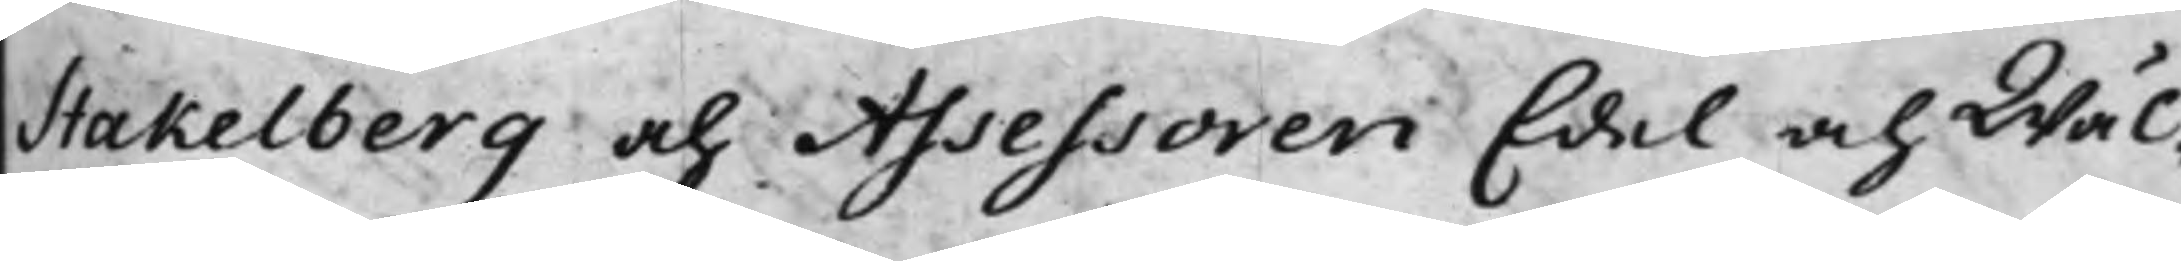Stakelberg och Assessoren Edel och Wäl¬
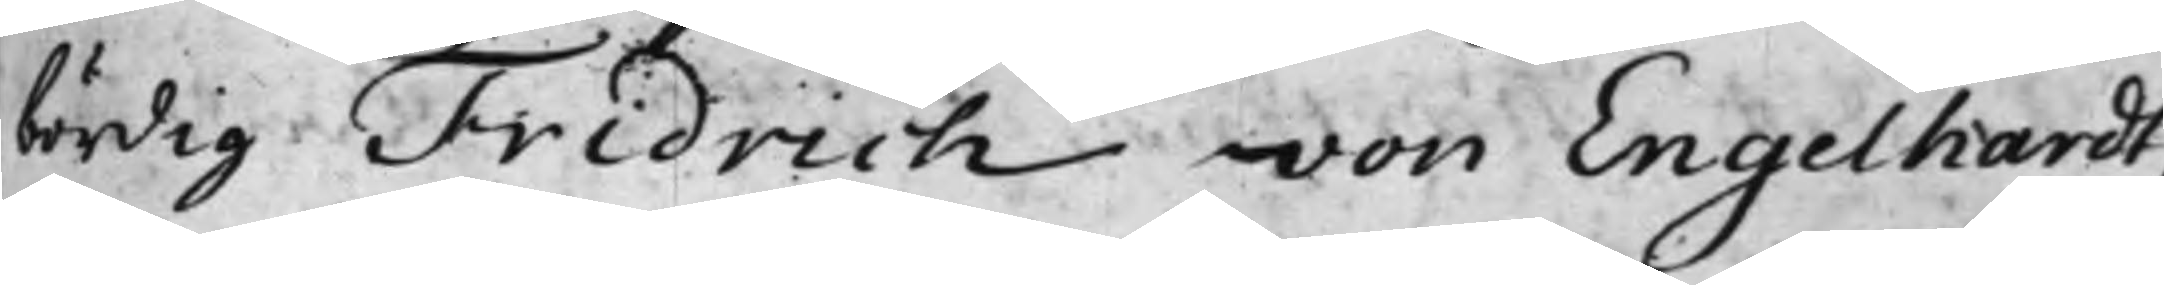bördig Fridrich von Engelhardt,
